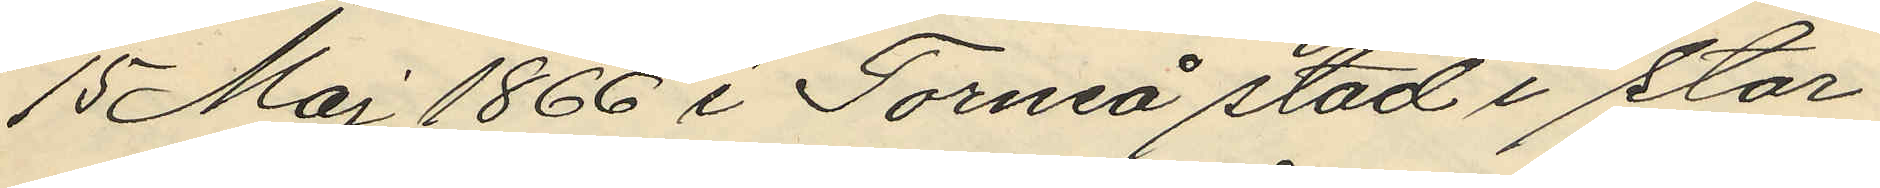15 Maj 1866 i Torneå stad i stor
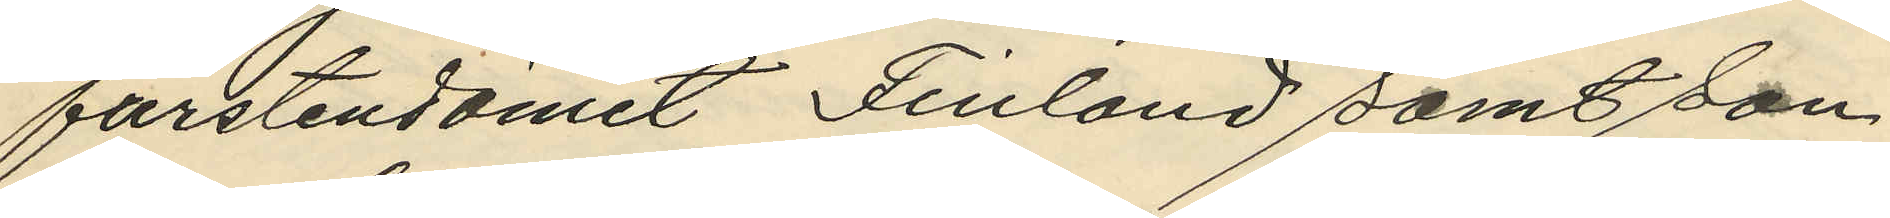furstendömet Finland samt son
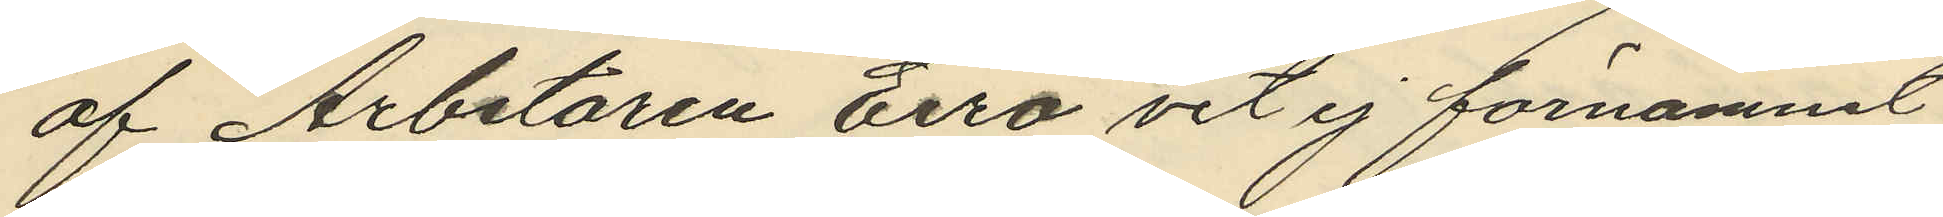af Arbetaren Eiro vet ej förnamnet
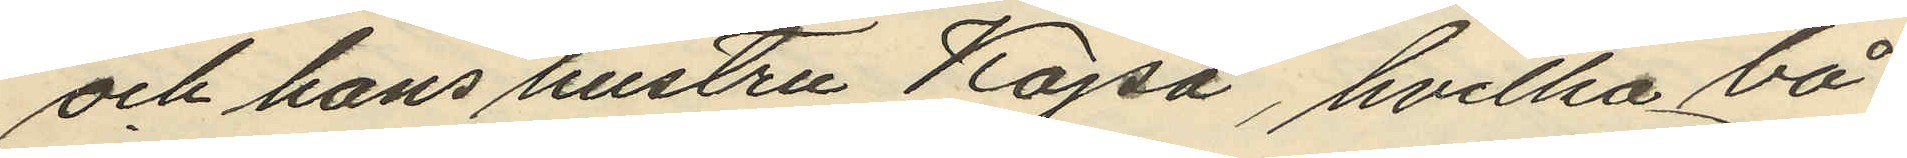och hans hustru Kajsa, hvilka bå¬
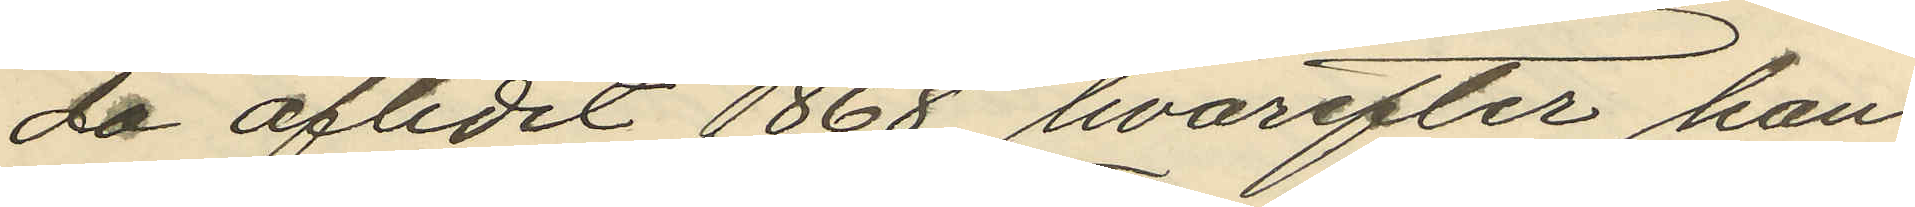da aflidit 1868, hvarefter han
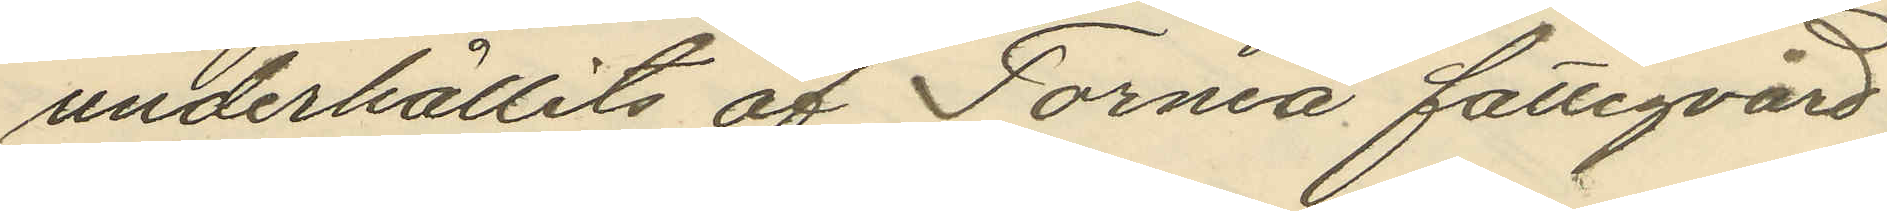underhållits af Torneå fattigvård
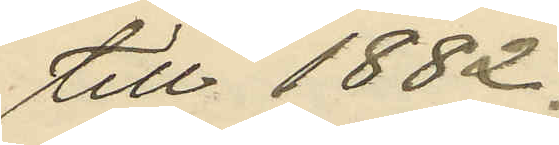till 1882;
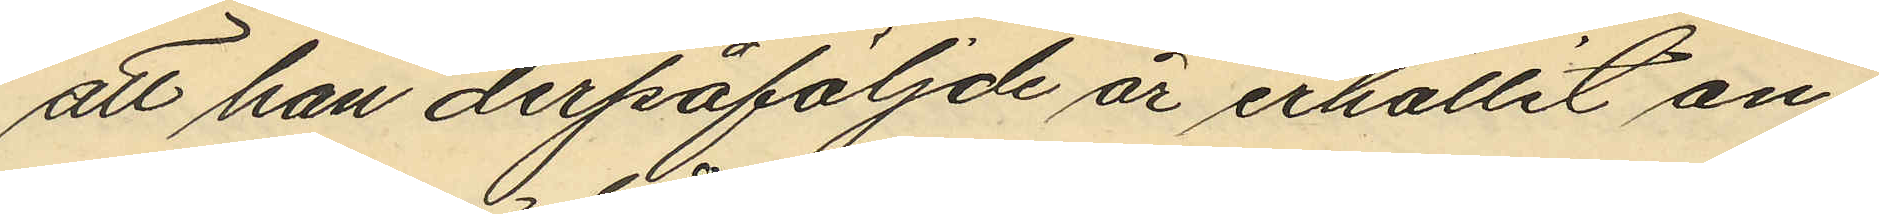att han derpåföljnde år erhållit an¬
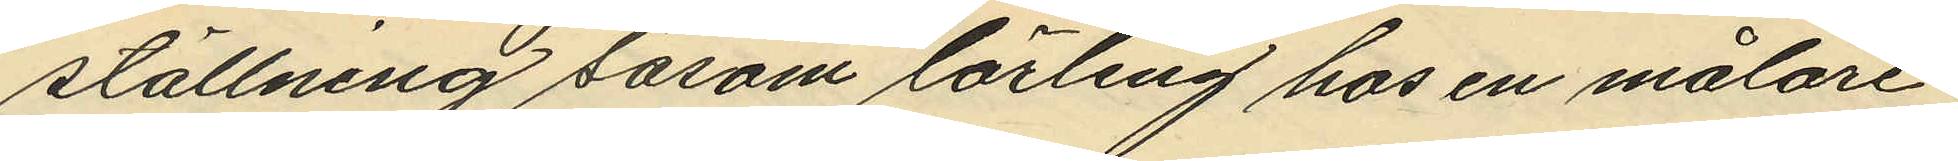ställning såsom lärling hos en målare
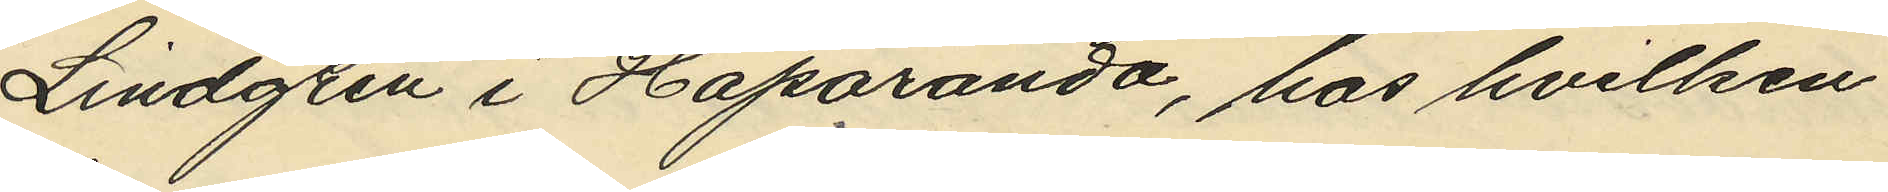Lindgren i Haparanda, hos hvilken
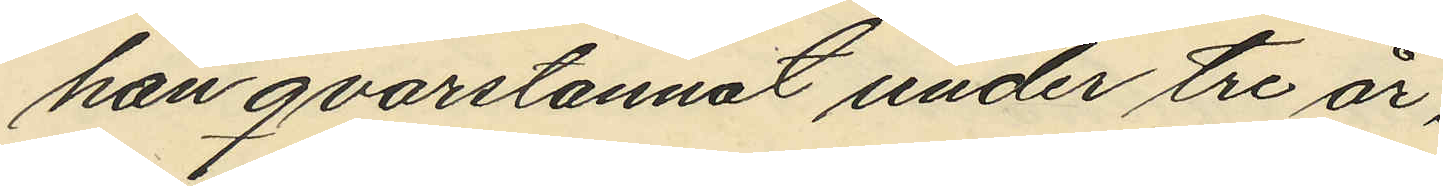han qvarstannat under tre år,
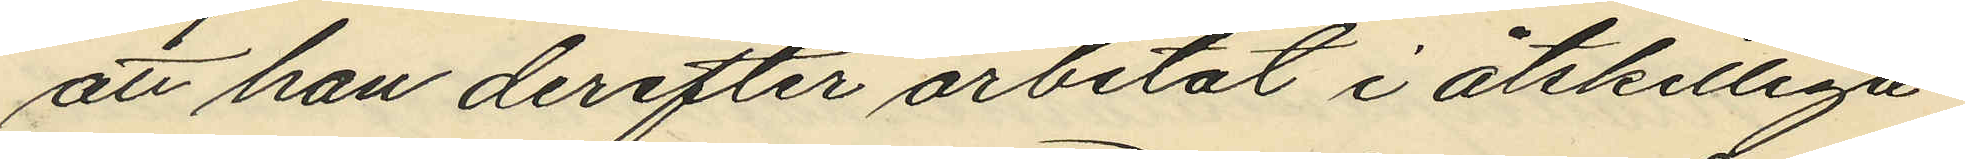att han derefter arbetat i åtskilliga
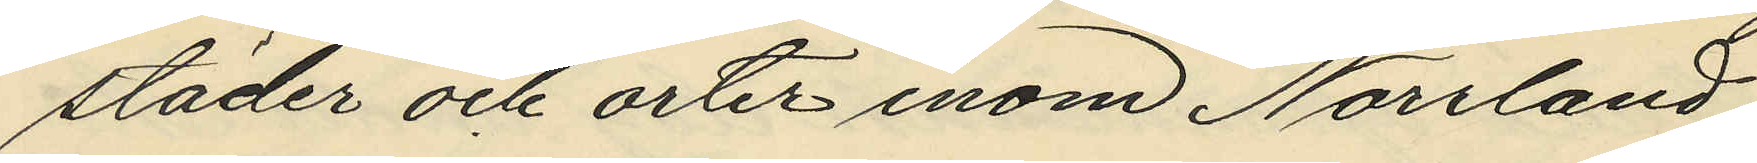städer och orter inom Norrland,
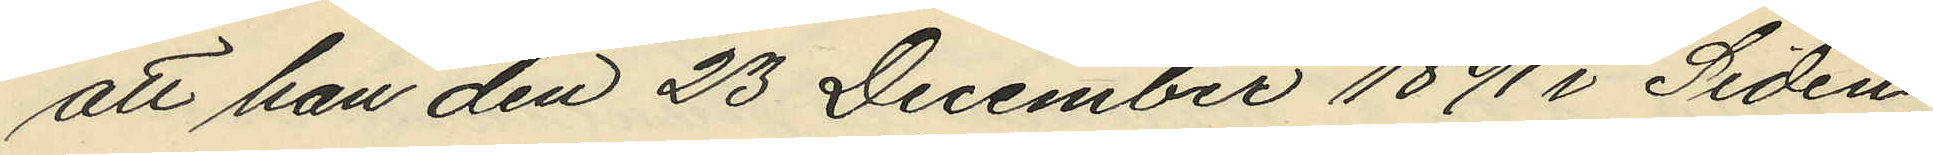att han den 23 December 1891 i Siden¬
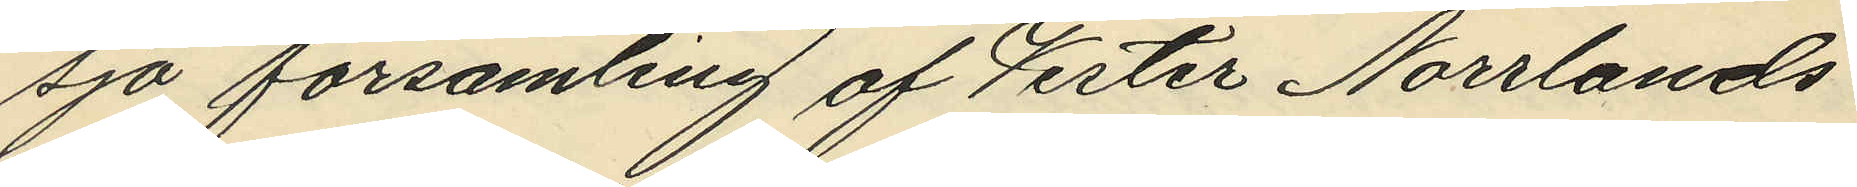sjö församling af Vester Norrlands
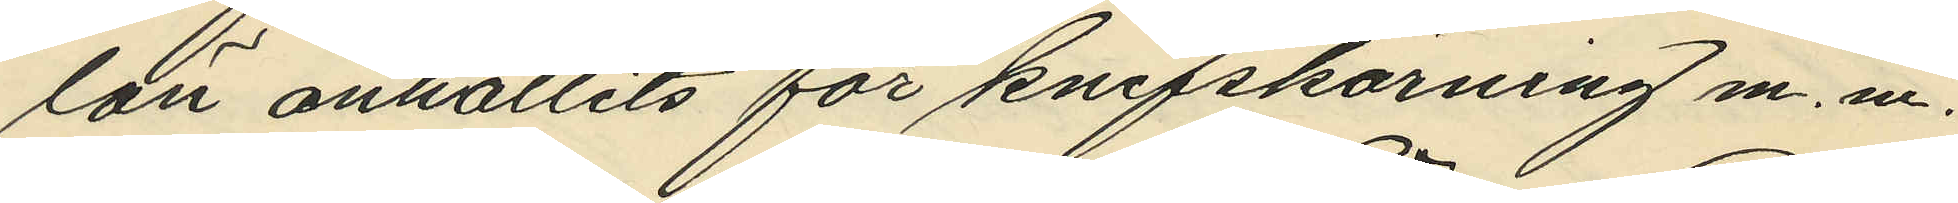län anhållits för knifskärning m. m.
